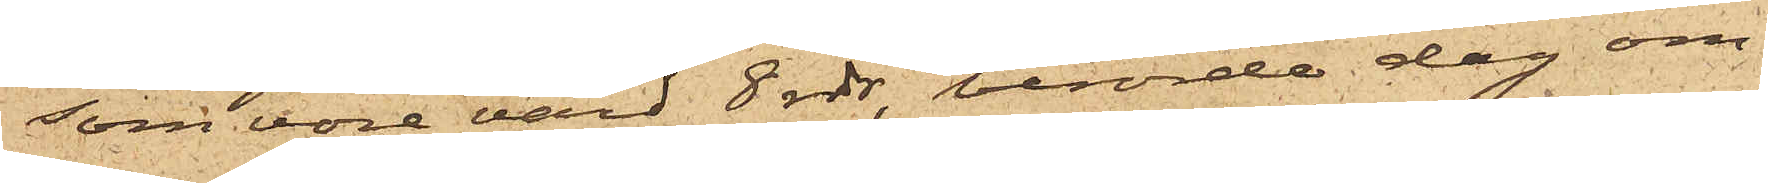som vore värd 8 rdr, berörde dag om¬
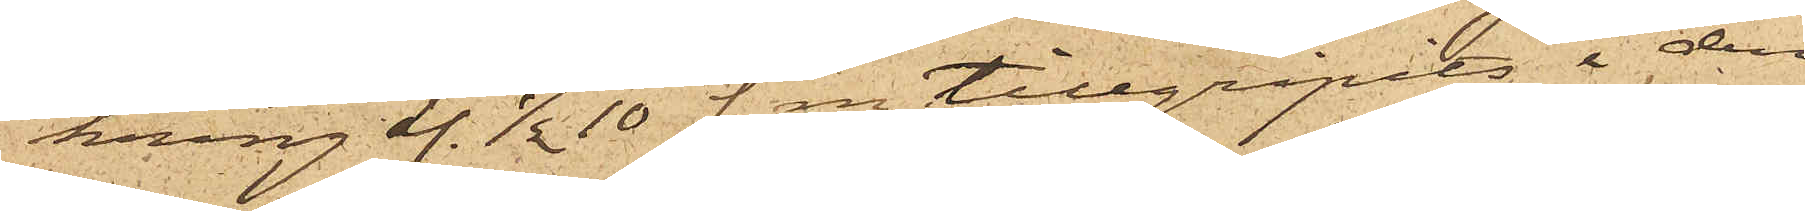kring kl. 1/2 10 f. m. tillgripits i den
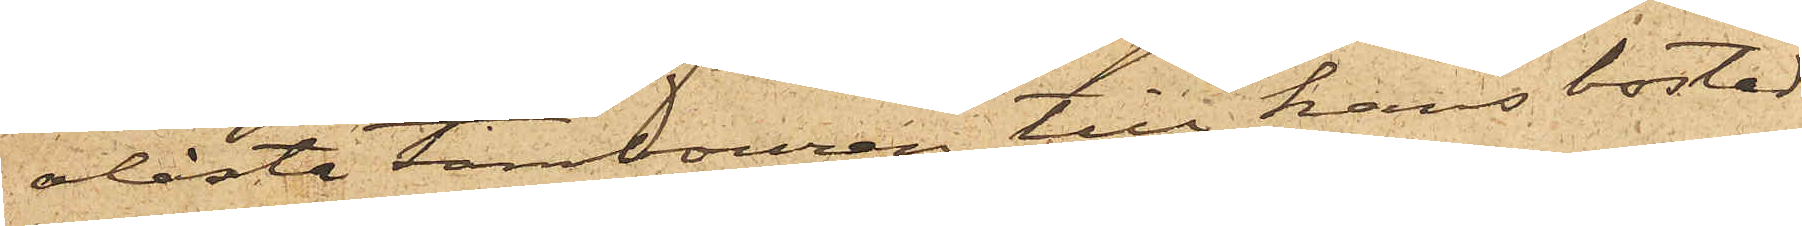olåsta tambouren till hans bostad.
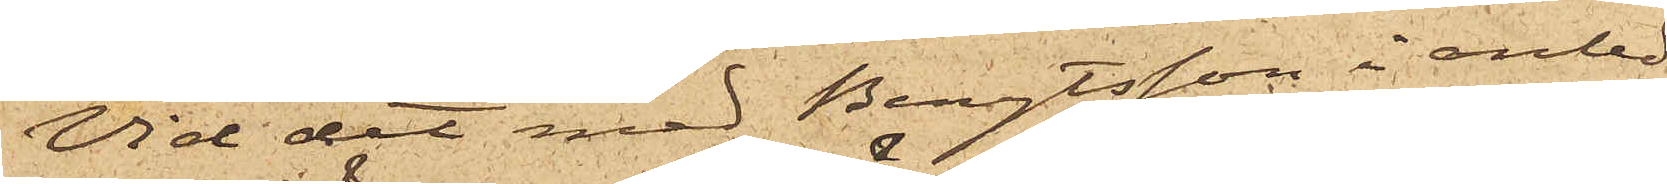Vid det med Bengtsson i anled¬
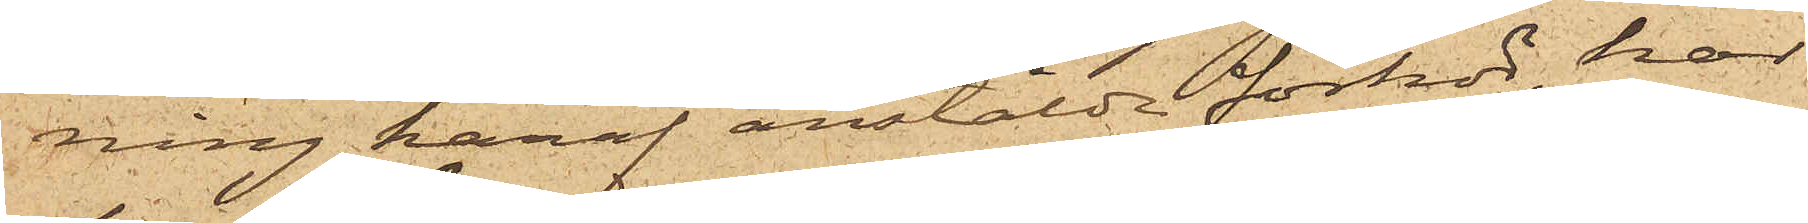ning häraf anstälda förhör, har
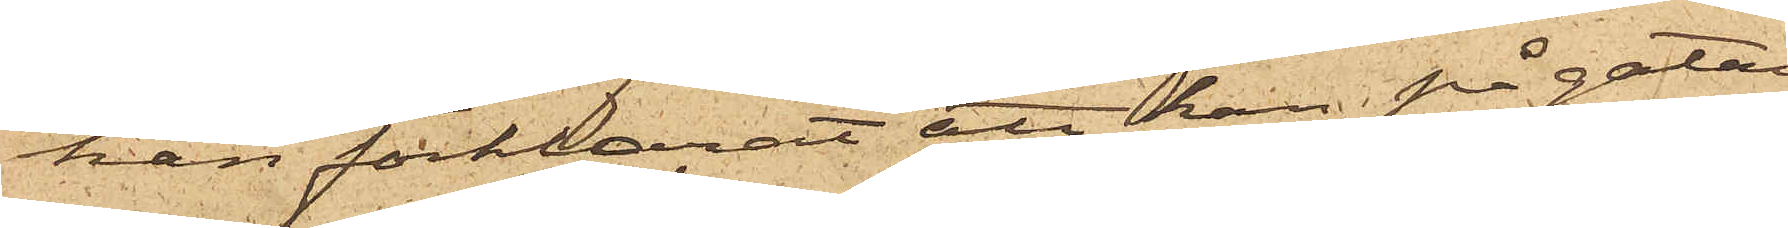han förklarat att han på gatan
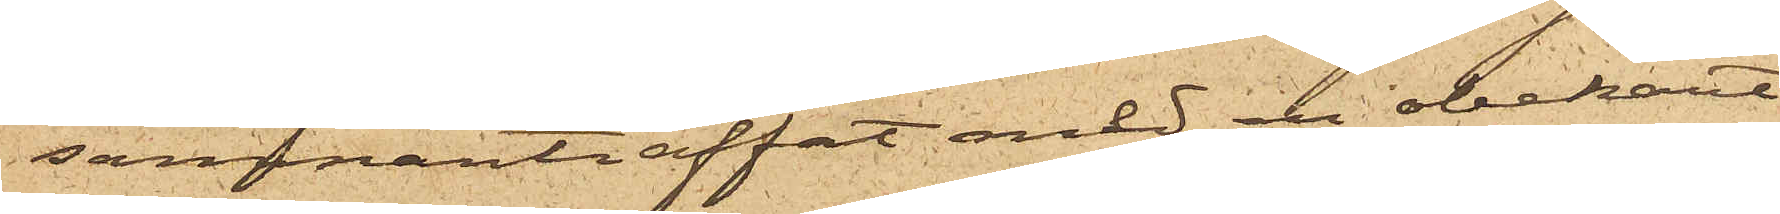sammanträffat med en obekant
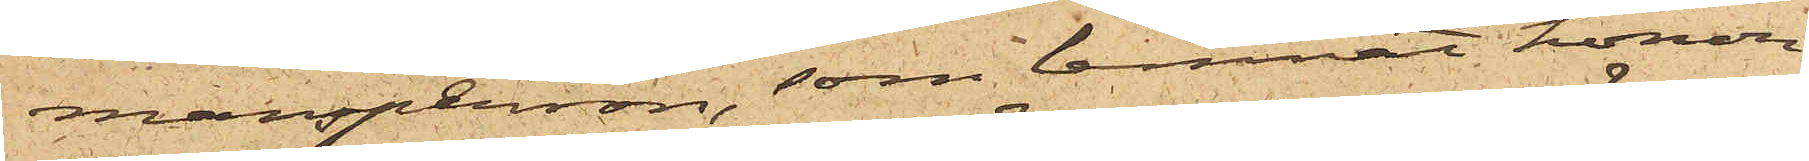mansperson, som lemnat honom
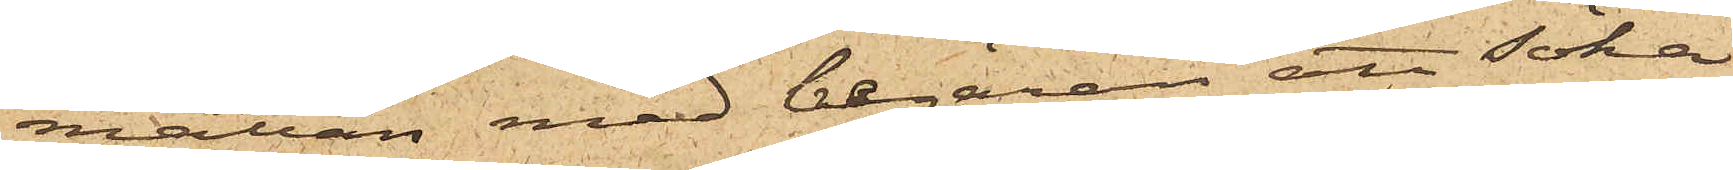mattan med begäran att söka
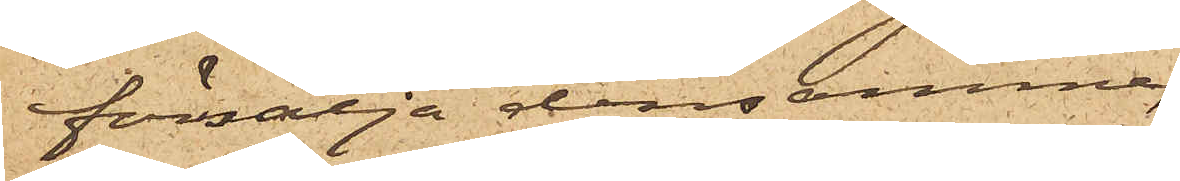försälja densamma,
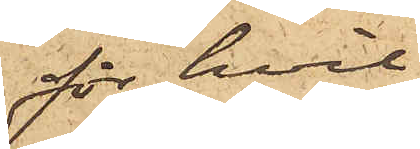för hvil¬
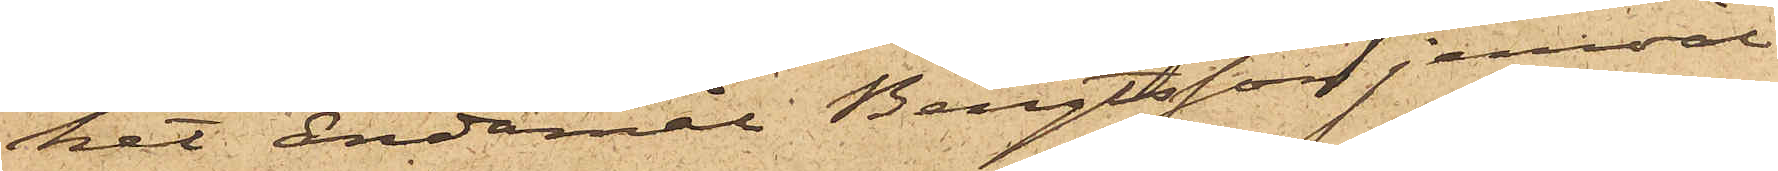ket ändamål Bengtsson jemväl
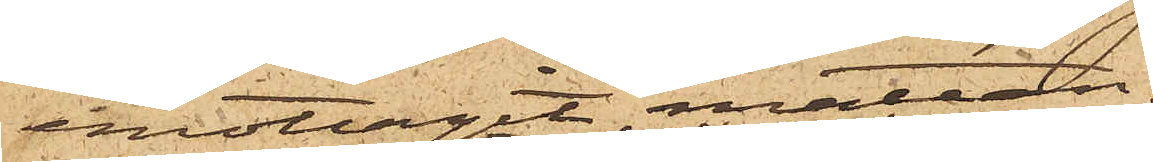emottagit mattan.
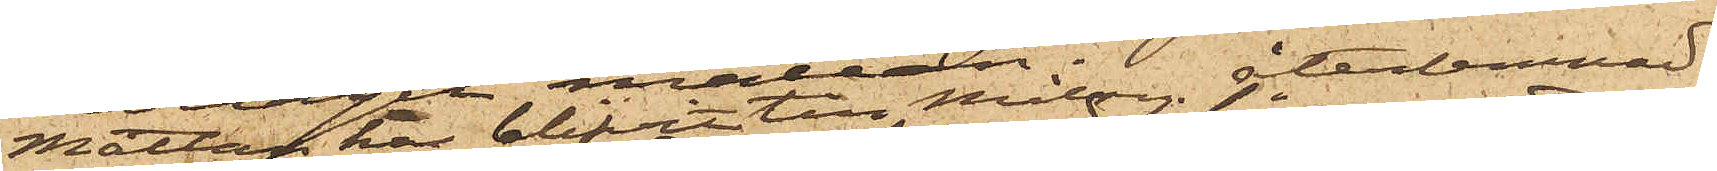Mattan har blifvit till Målseg. återlemnad.
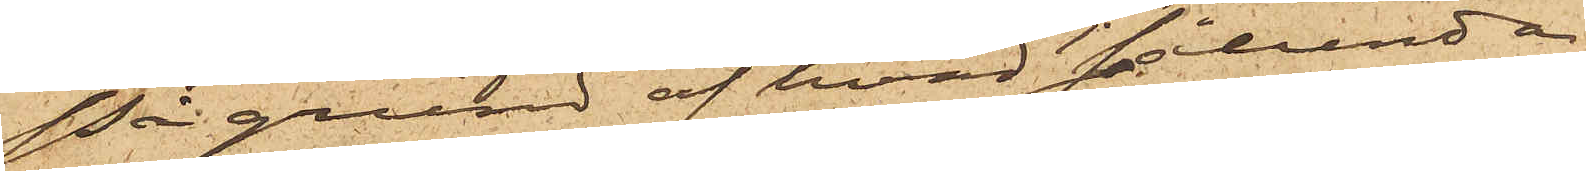På grund af hvad sålunda
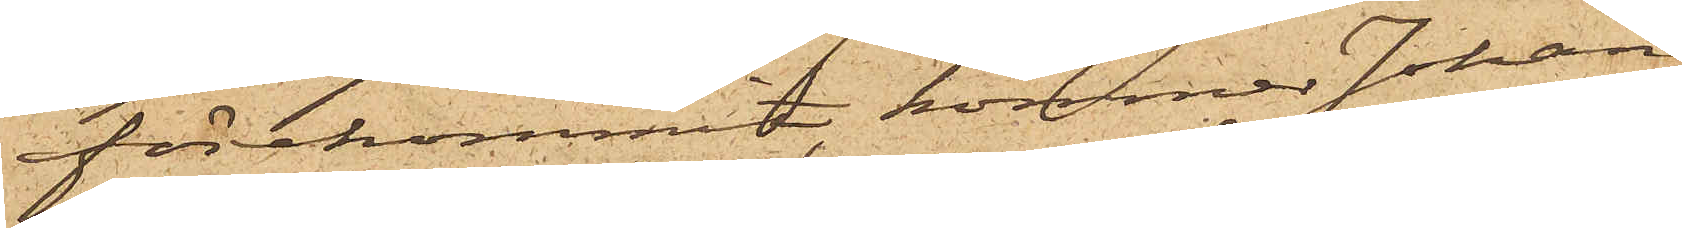förekommit, kommer Johan
